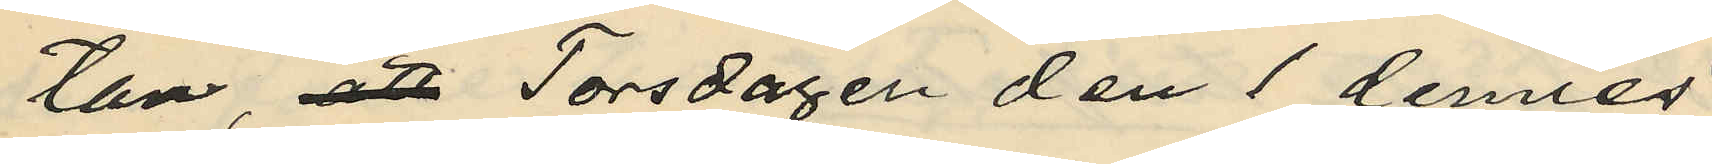tan, att Torsdagen den 1 dennes
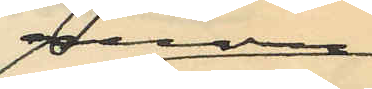genom
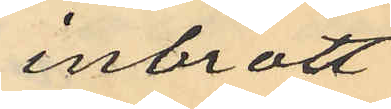inbrott
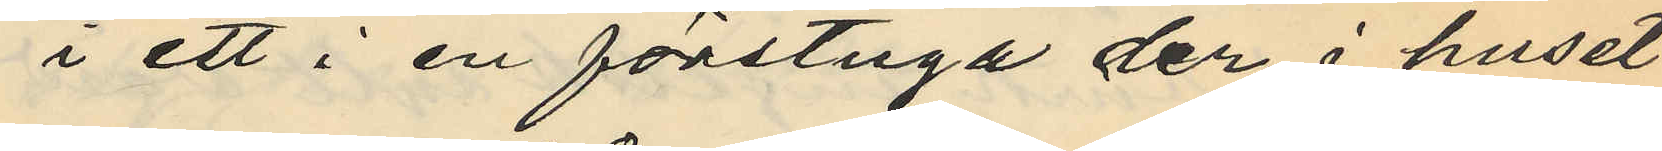i ett i en förstuga der i huset
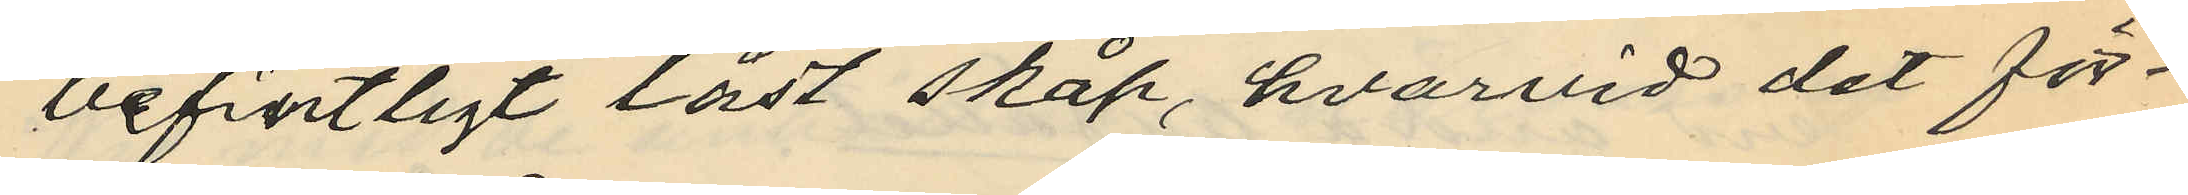befintligt låst skåp, hvarvid det för
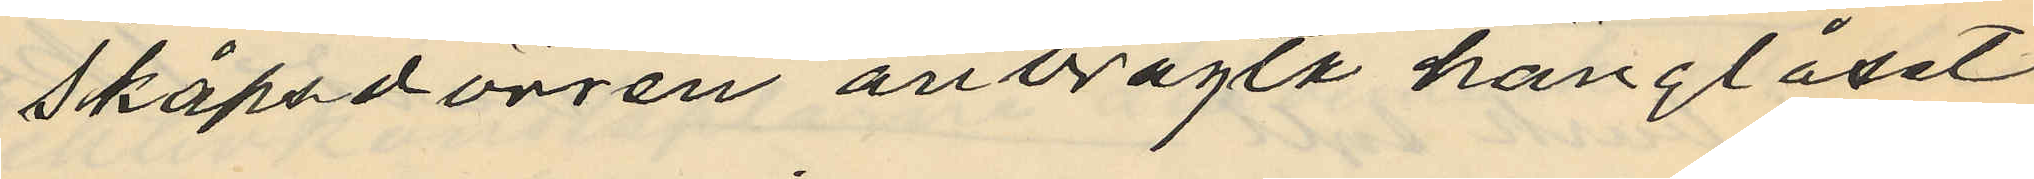skåpsdörren anbragta hänglåset
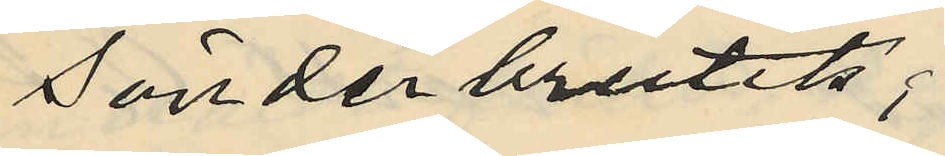sönderbrutits;
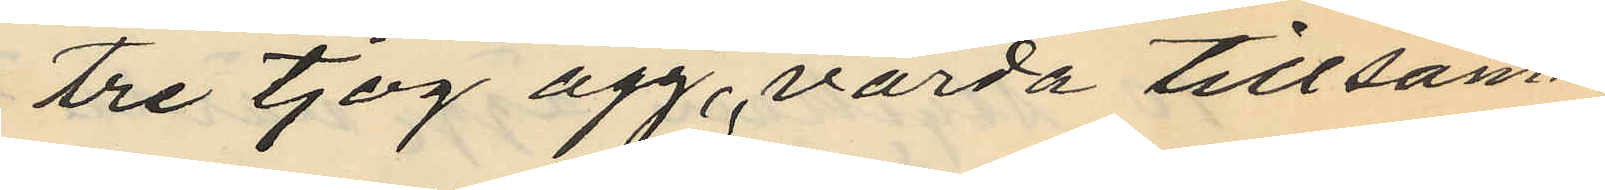tre tjog ägg, värda tillsam¬
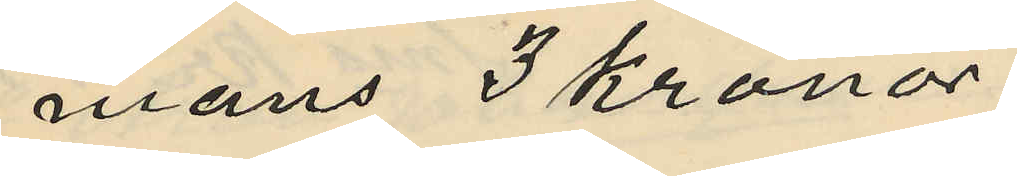mans 3 kronor
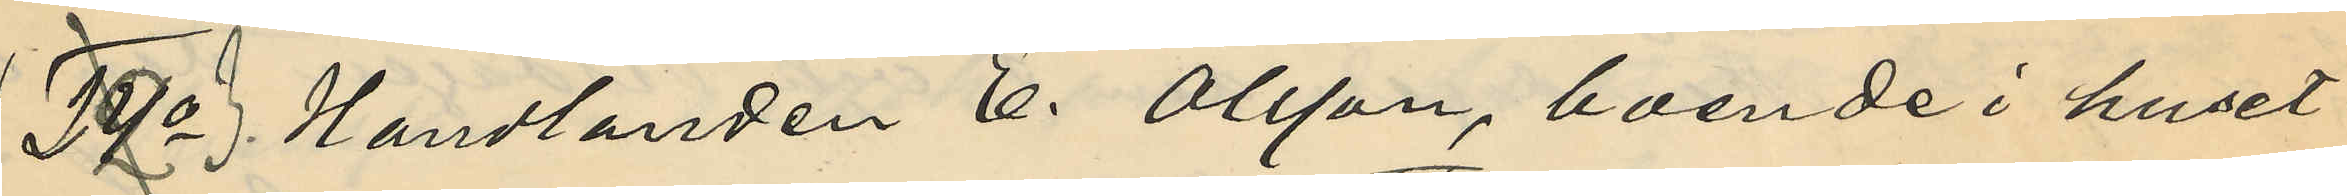243o Handlanden E. Olsson, boende i huset
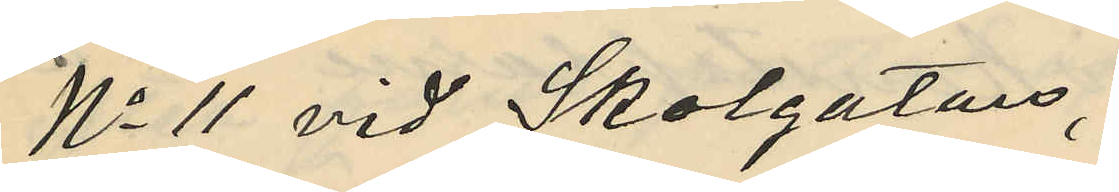No 11 vid Skolgatan,
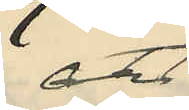att
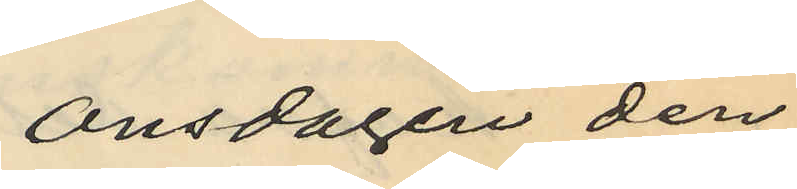Onsdagen den
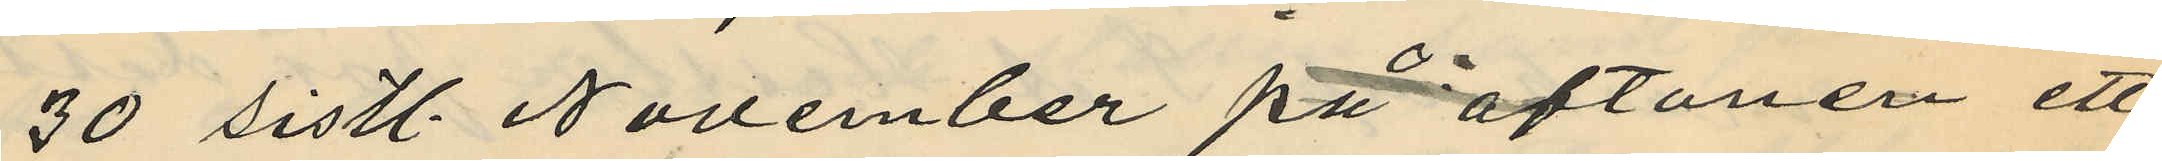30 sistl. November på aftonen ett
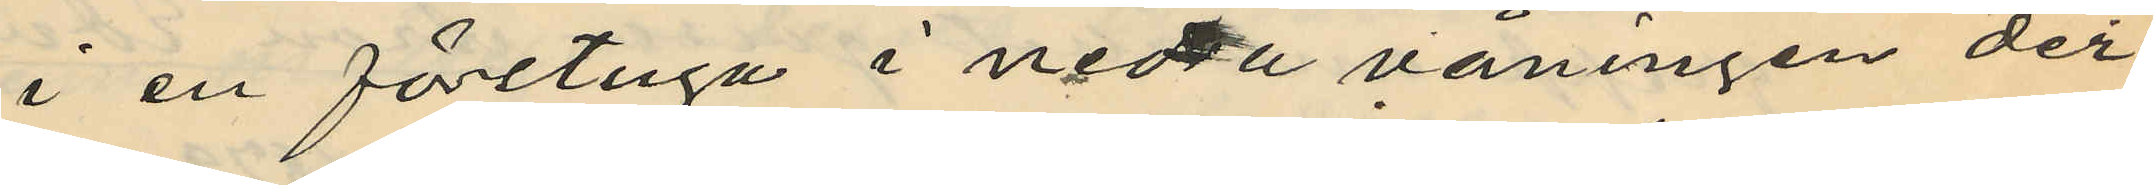i en förstuga i nedra våningen der
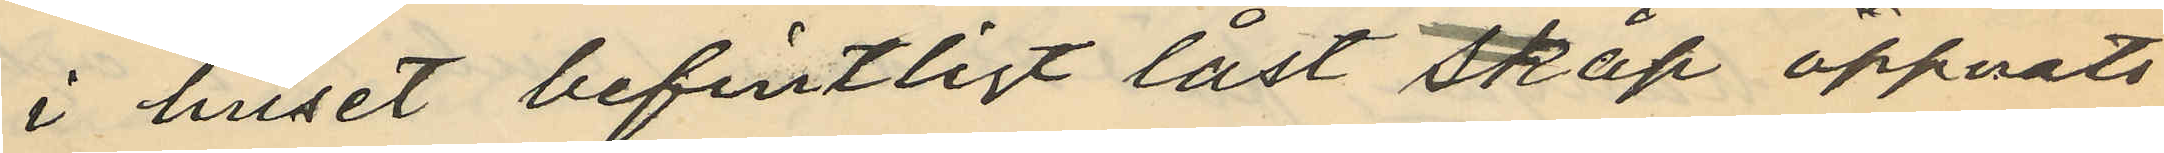i huset befintligt låst skåp öppnats
